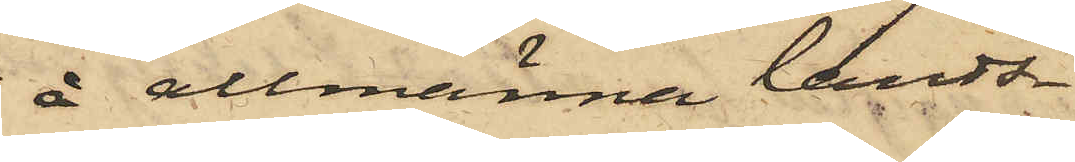å allmänna lands¬
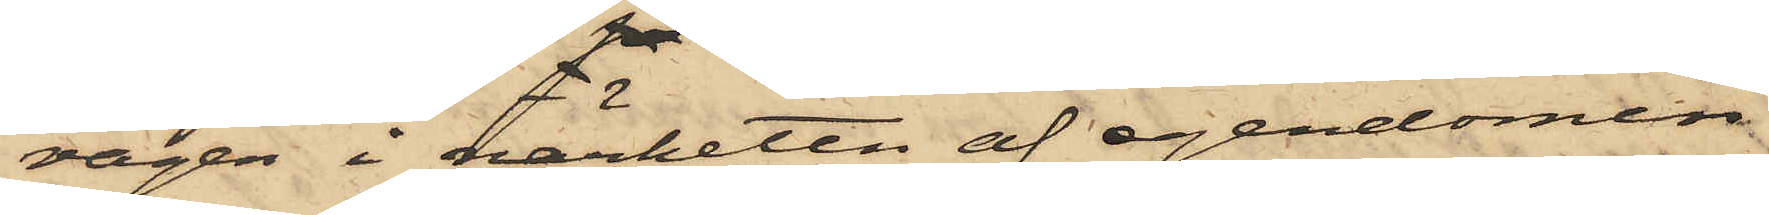vägen i närheten af egendomen
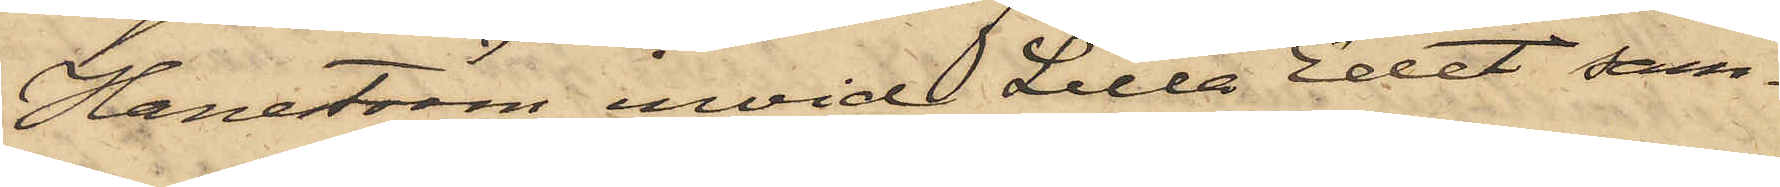Haneström invid Lilla Edet sam¬
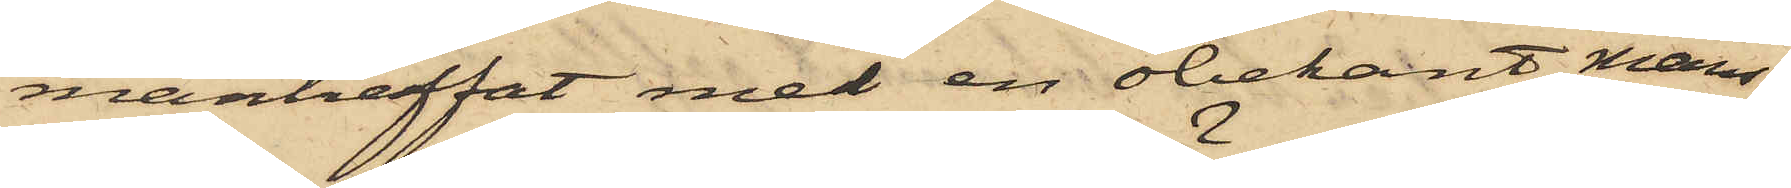manträffat med en obekant mans¬
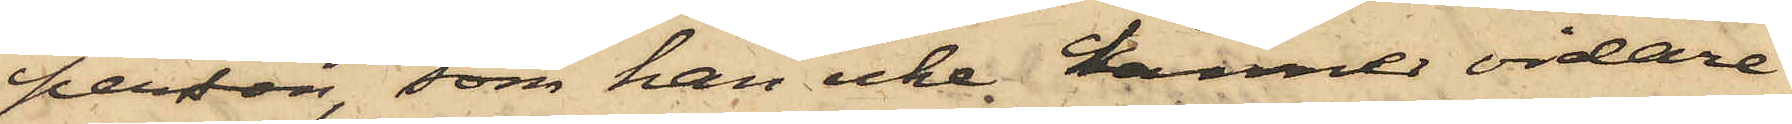person, som han icke kännes vidare
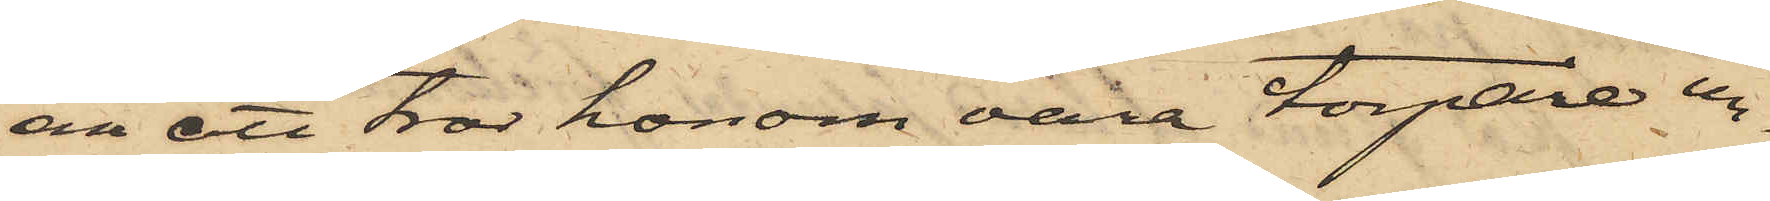än att tror honom vara torpare un¬
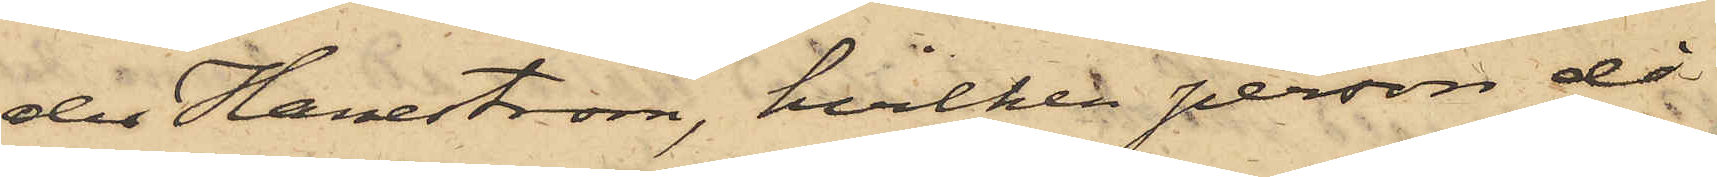der Haneström, hvilken person då
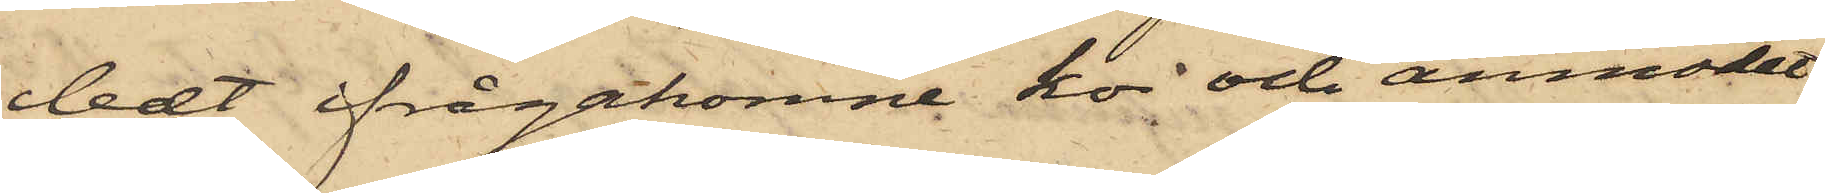ledt ifrågakomne ko och anmodat
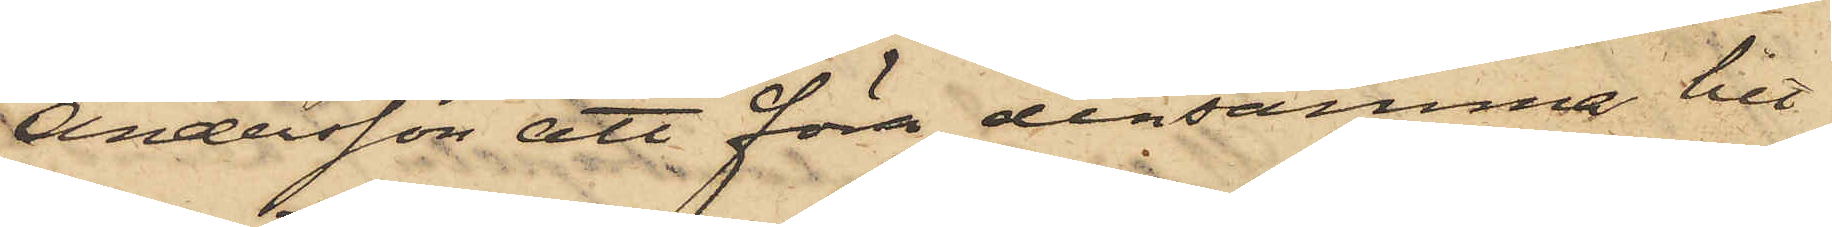Andersson att föra densamma hit
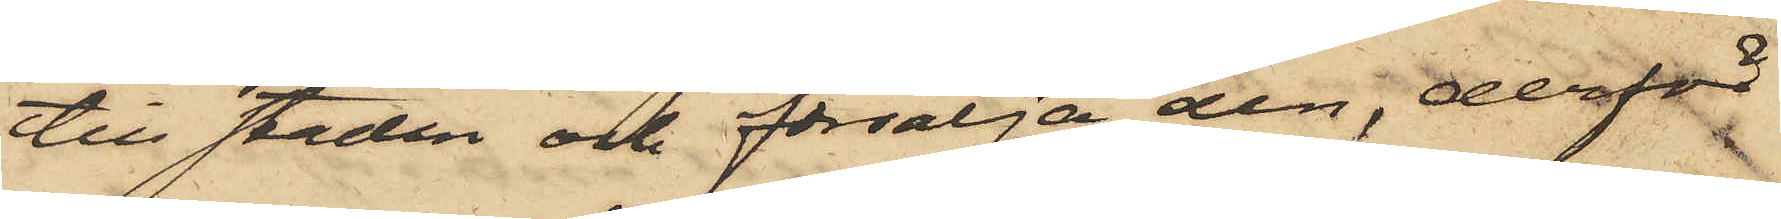till staden och försälja den, derför
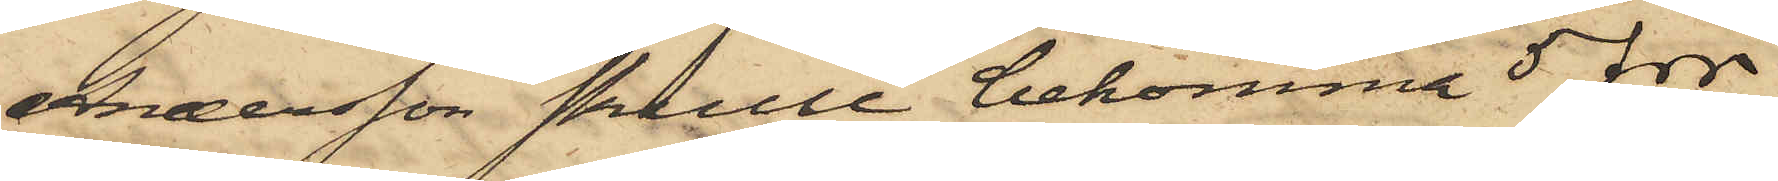Andersson skulle bekomma 5 rdr
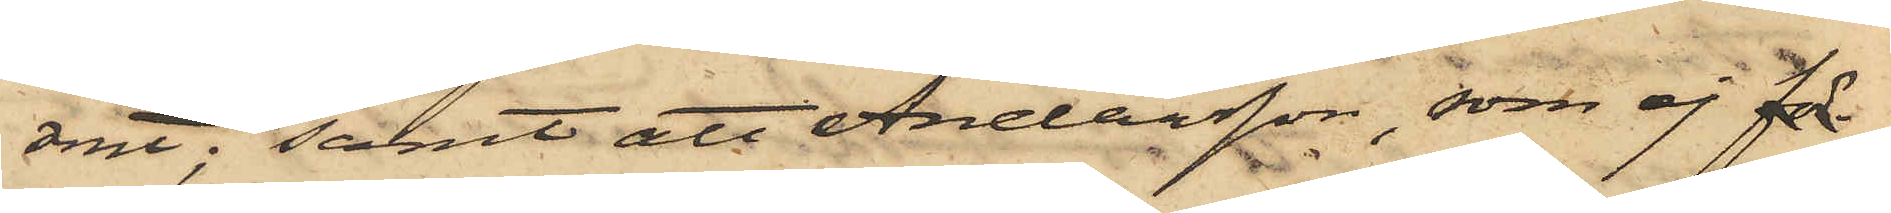rmt; samt att Andersson, som ej för¬
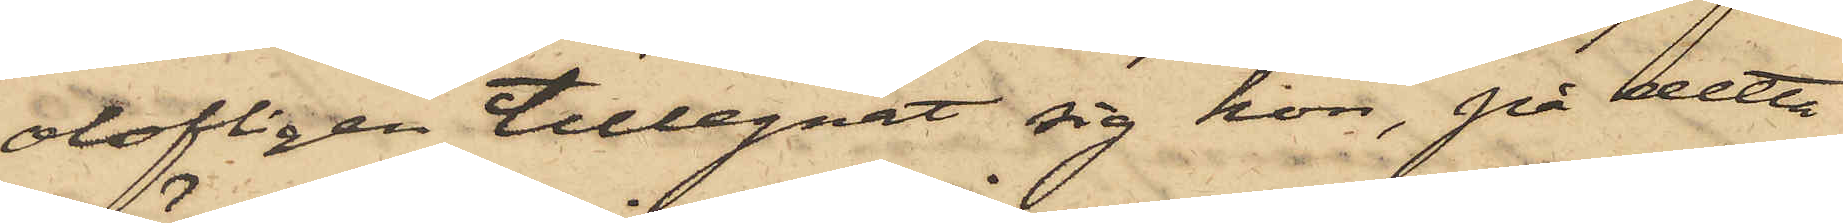olofligen tillegnat sig kon, på detta
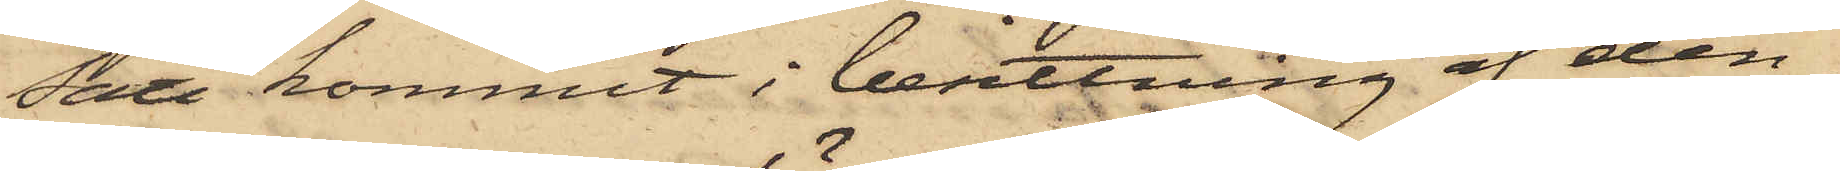sätt kommit i besittning af den¬
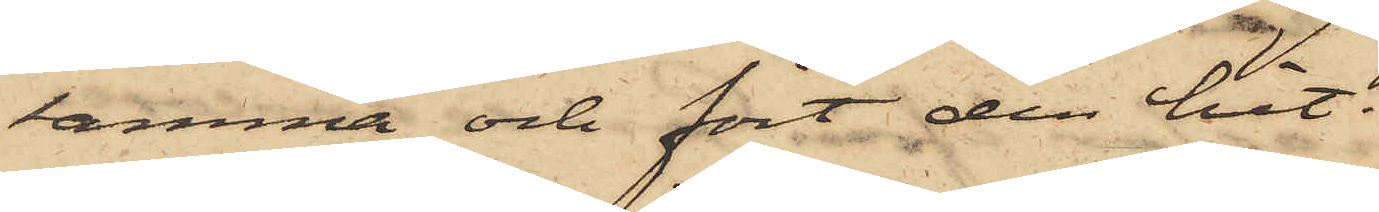samma och fört den hit.
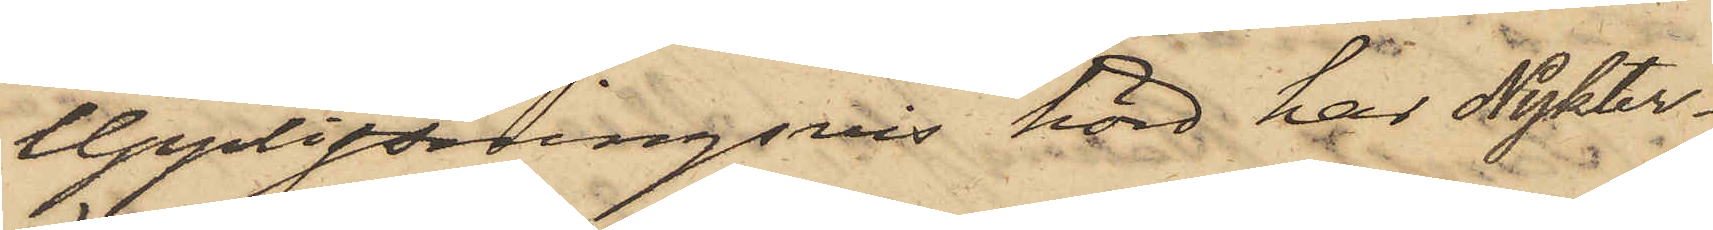Upplysningsvis hörd har Nykter¬
